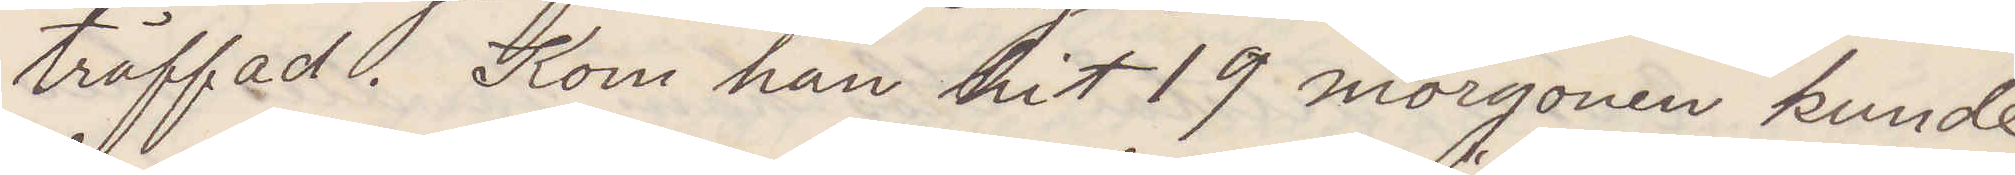träffad. Kom han hit 19 morgonen kunde
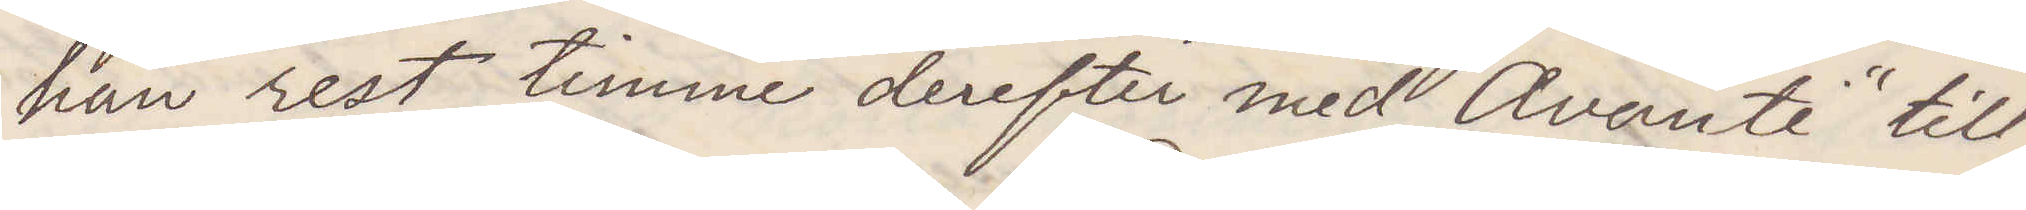han rest timme derefter med "Avanti" till
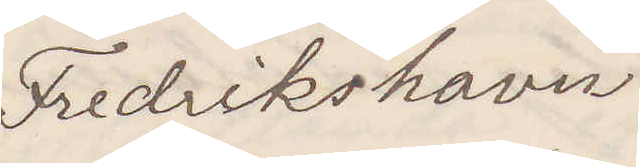Fredrikshavn
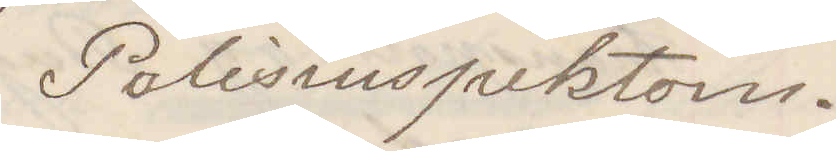Polisinspektorn.
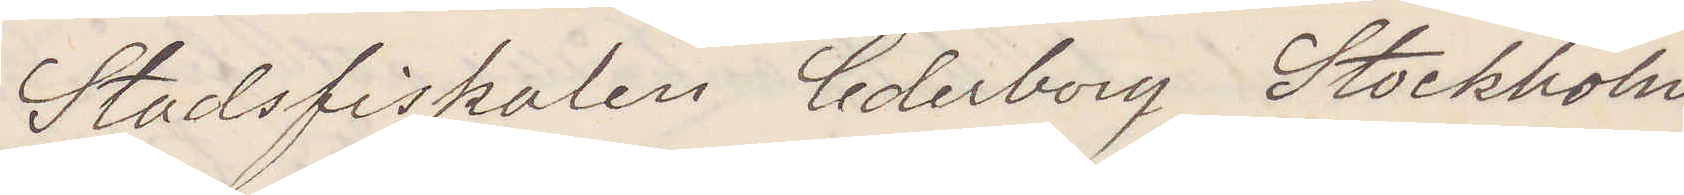Stadsfiskalen Cederborg Stockholm
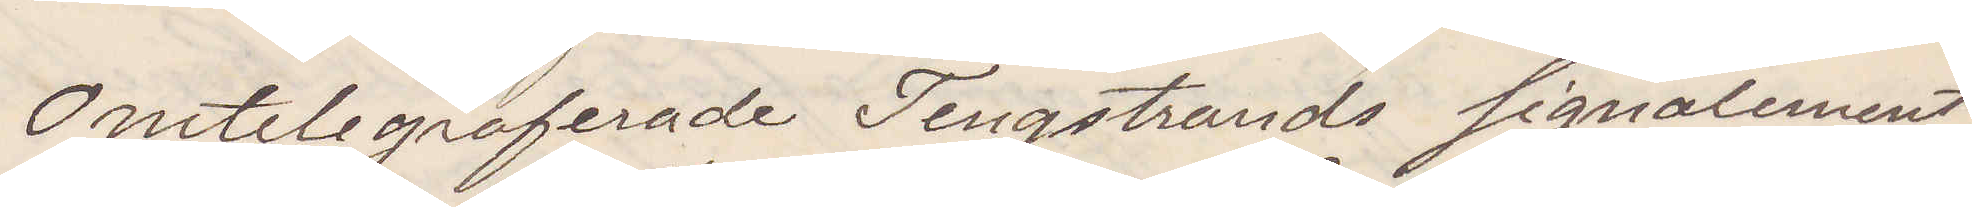Omtelegraferade Tengstrands signalement
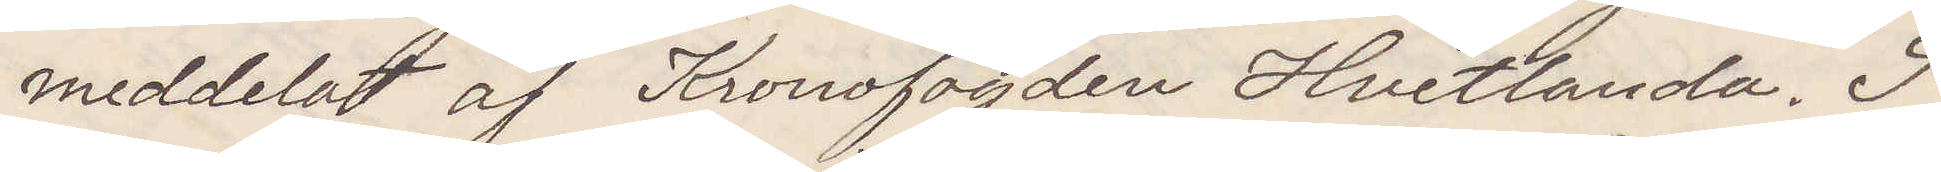meddelat af Kronofogden Hvetlanda. T
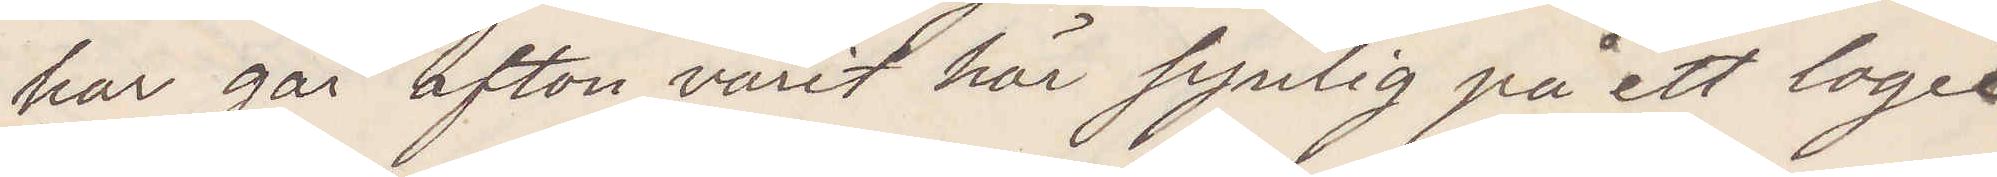har går afton varit här synlig på ett logis
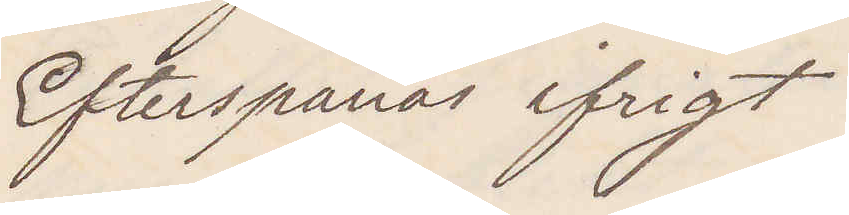Efterspanas ifrigt
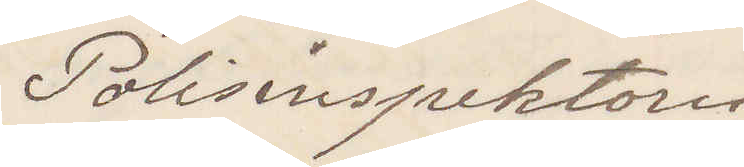Polisinspektorn
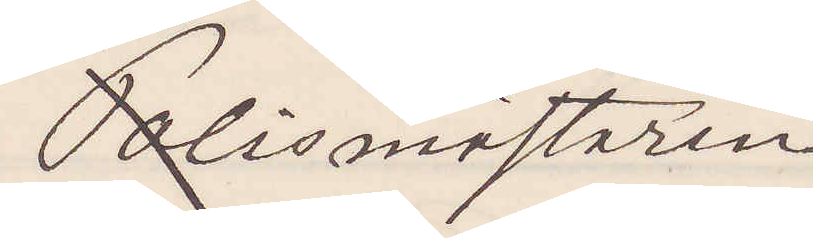Polismästaren
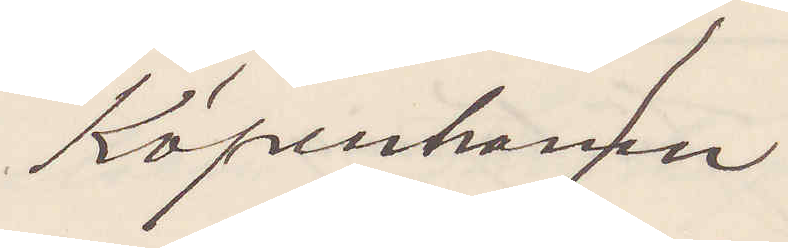Köpenhamn
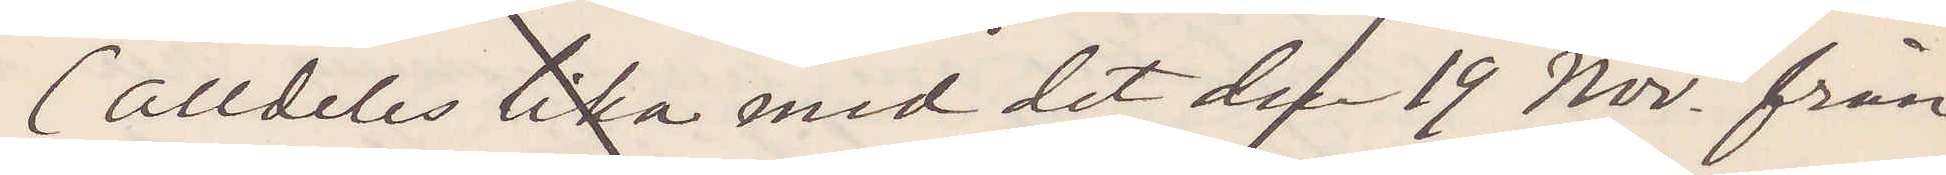(alldeles lika med det den 19 Nov från
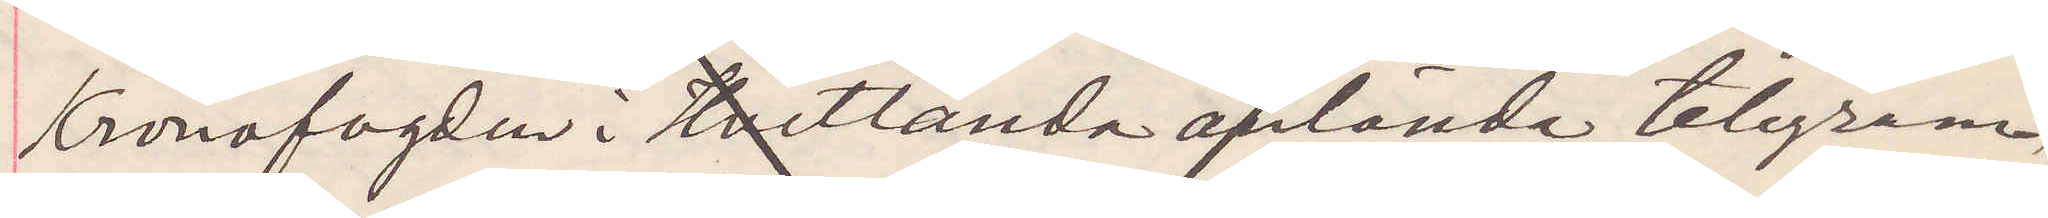Kronofogden i Hvetlanda anlända telegram)
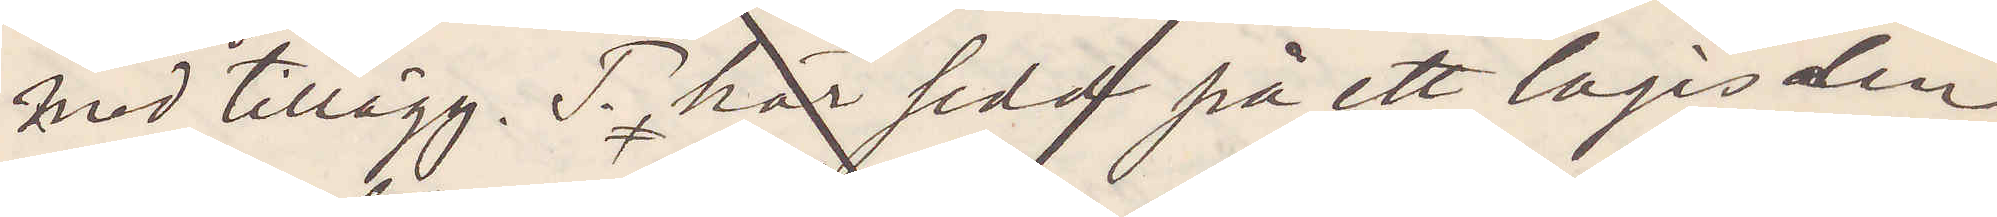med tillägg. T här sedd på ett logis den
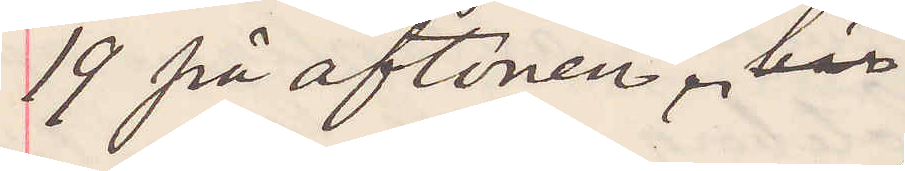19 på aftonen. här
